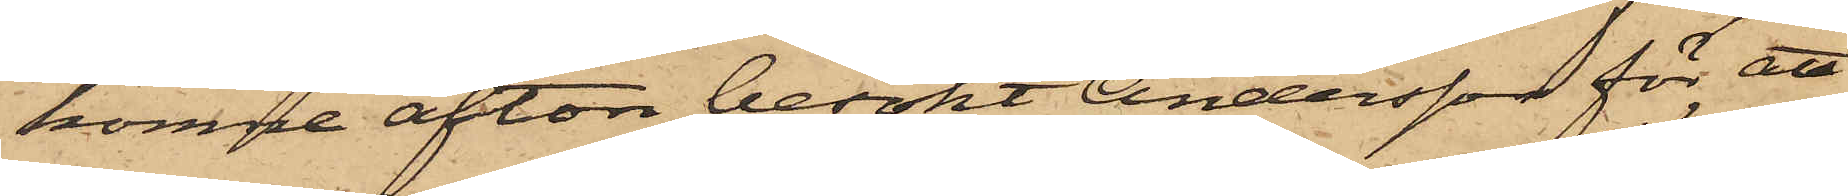komne afton besökt Andersson för att
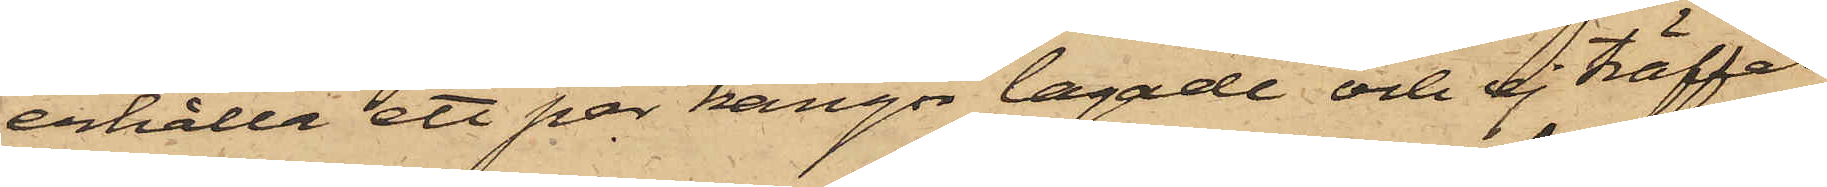erhålla ett par kängor lagade och ej träffat
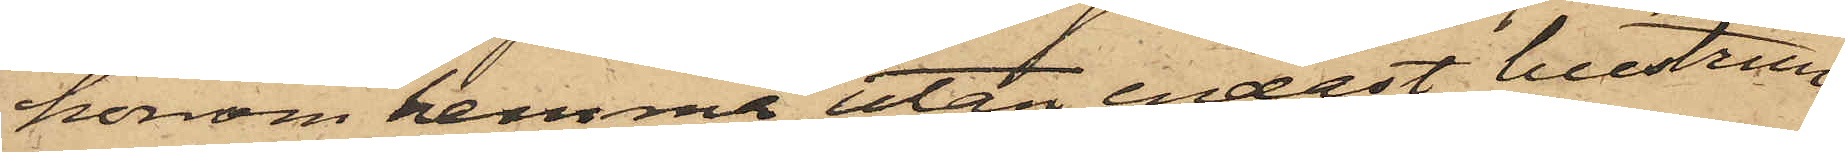honom hemma utan endast hustrun,
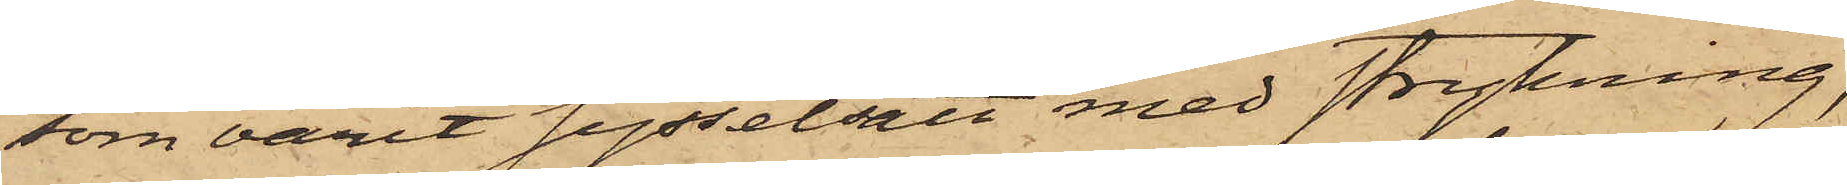som varit sysselsatt med strykning,
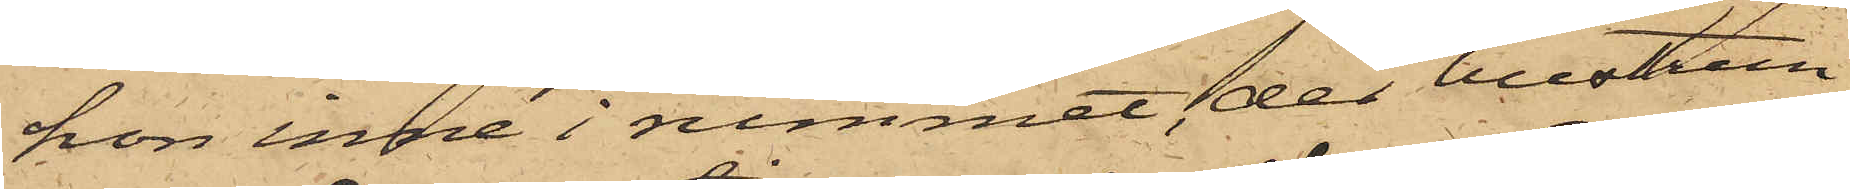hon inne i rummet, der hustrun
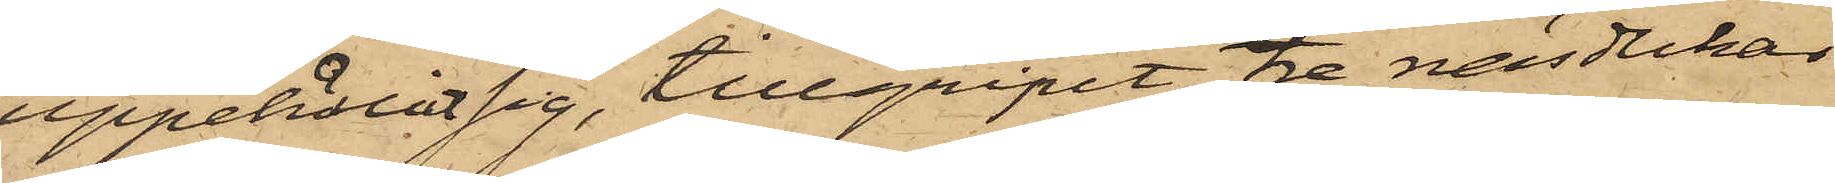uppehållit sig, tillgripit tre näsdukar
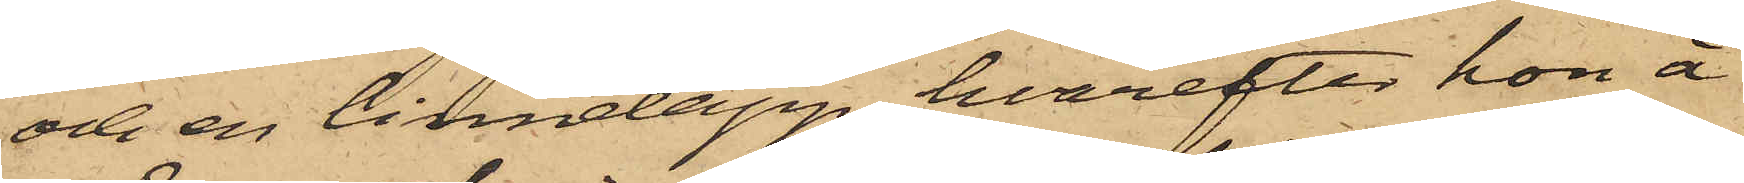och en linnelapp, hvarefter hon å
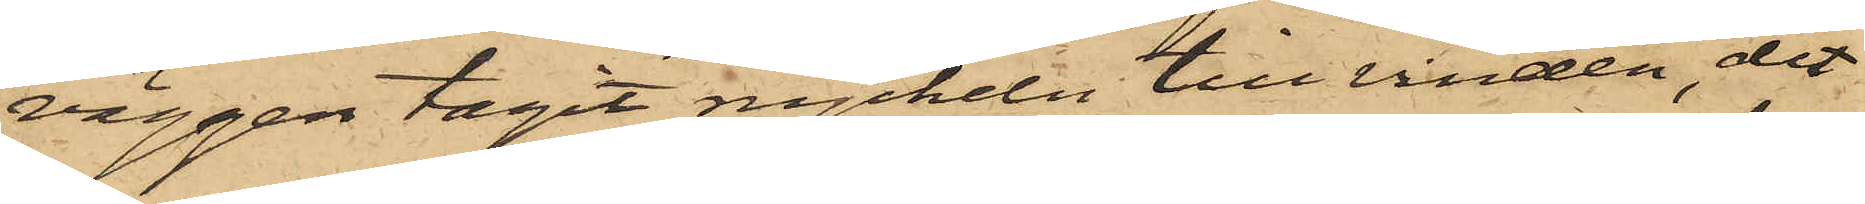väggen tagit nyckeln till vinden, dit
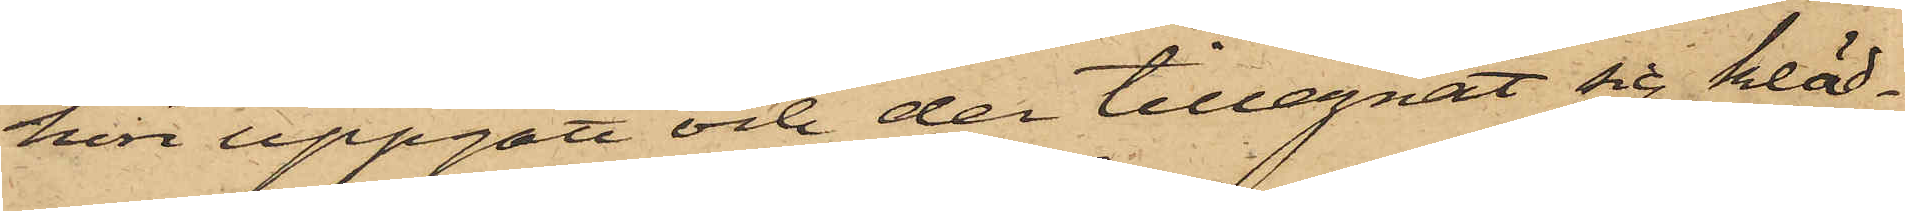hon uppgått och der tillegnat sig kläd¬
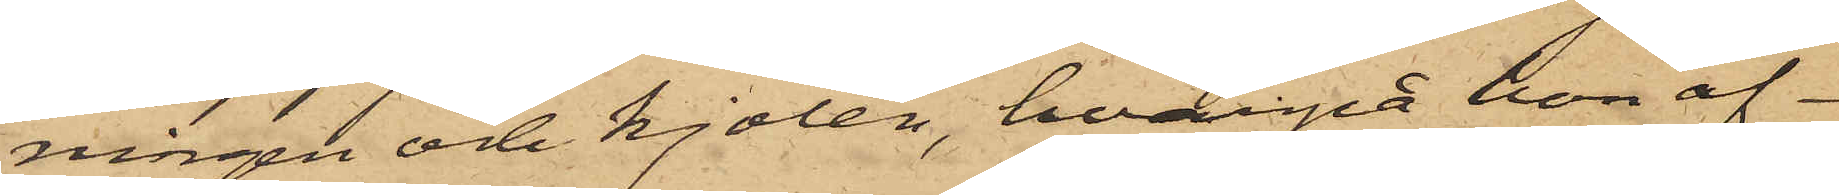ningen och kjolen, hvarpå hon af¬
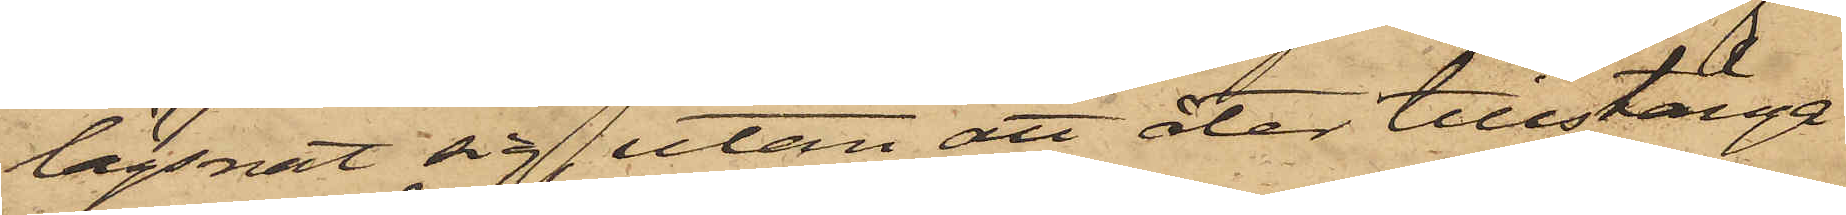lägsnat sig, utan att der tillstänga
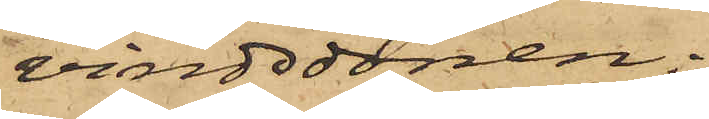vindsdörren;
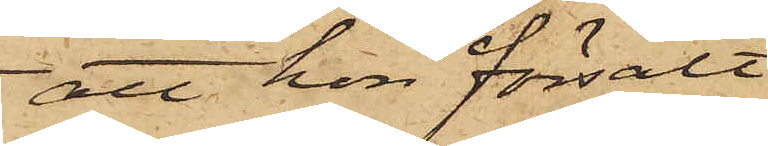att hon försålt
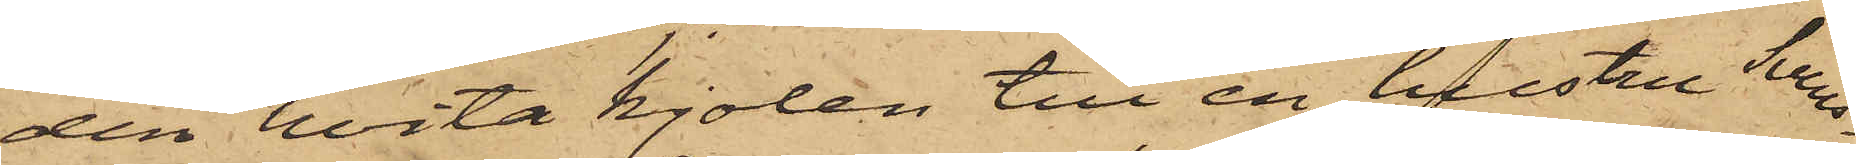den hvita kjolen till en hustru Svens¬
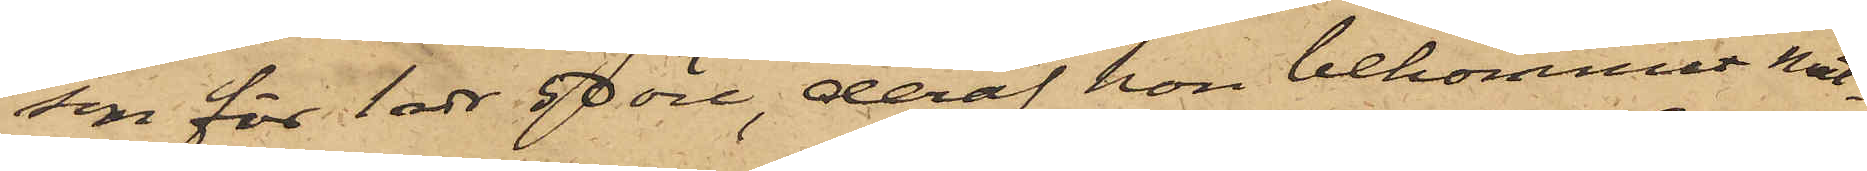son för 1 rdr 50 öre, deraf hon bekommit mat¬
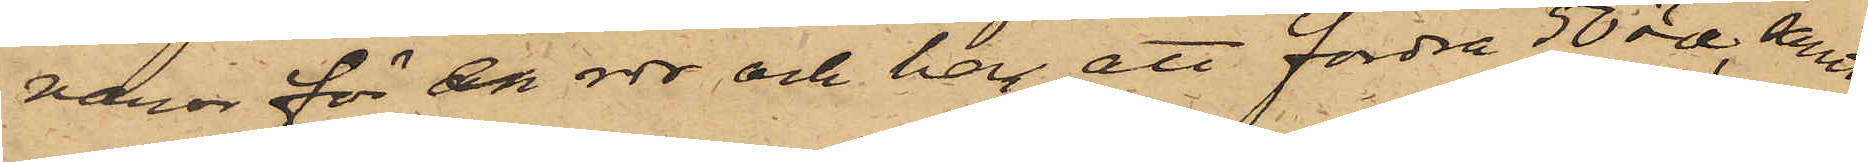varor för en rdr och har att fordra 50 öre, samt
